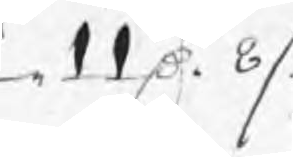11 Dr 8 /:
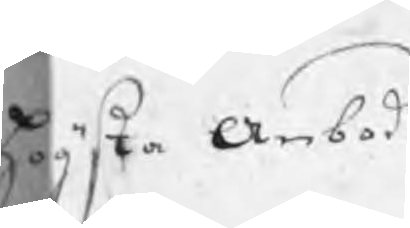högsta Anbod
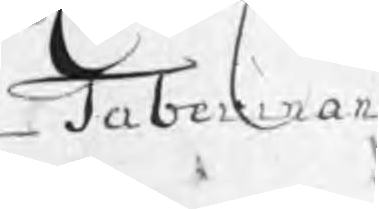Taberman
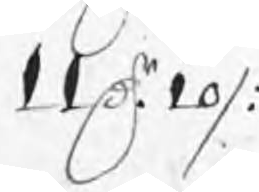11 Dr 10 /:
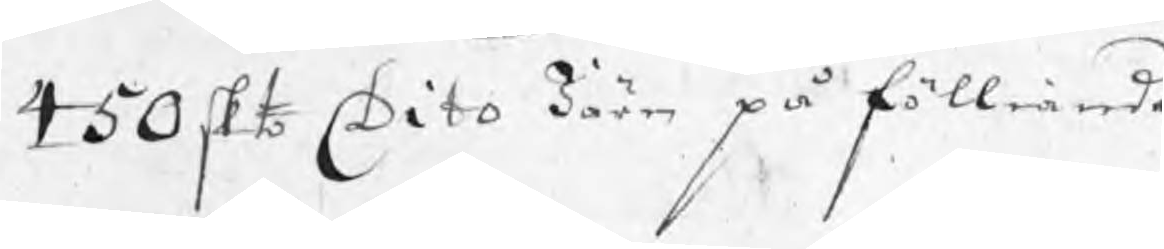450 skt Dito Järn på fölliande
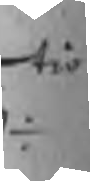tio
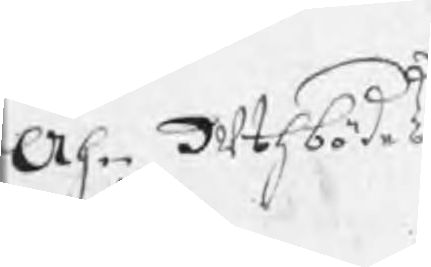Ähn uthbödes
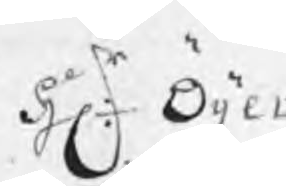Hr: Öijer
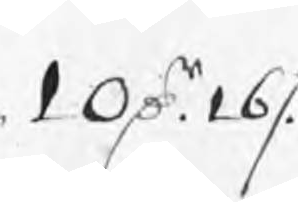10 Dr 16 /:
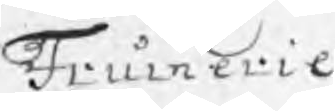Frumerie
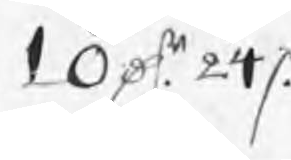10 Dr 24 /:
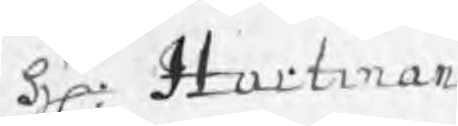Hr: Hartman
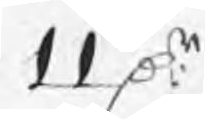11 Dr
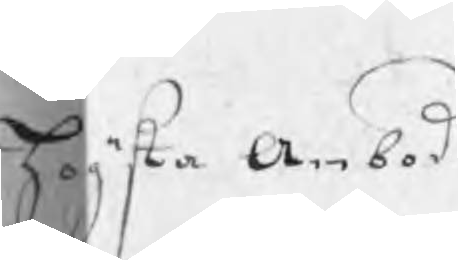högsta Anbod
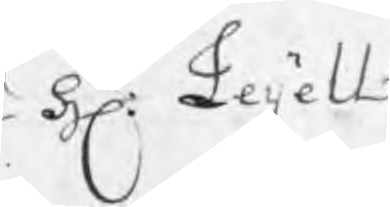Hr: Leijell
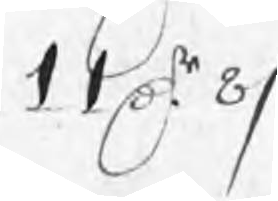11 Dr 8 /:
